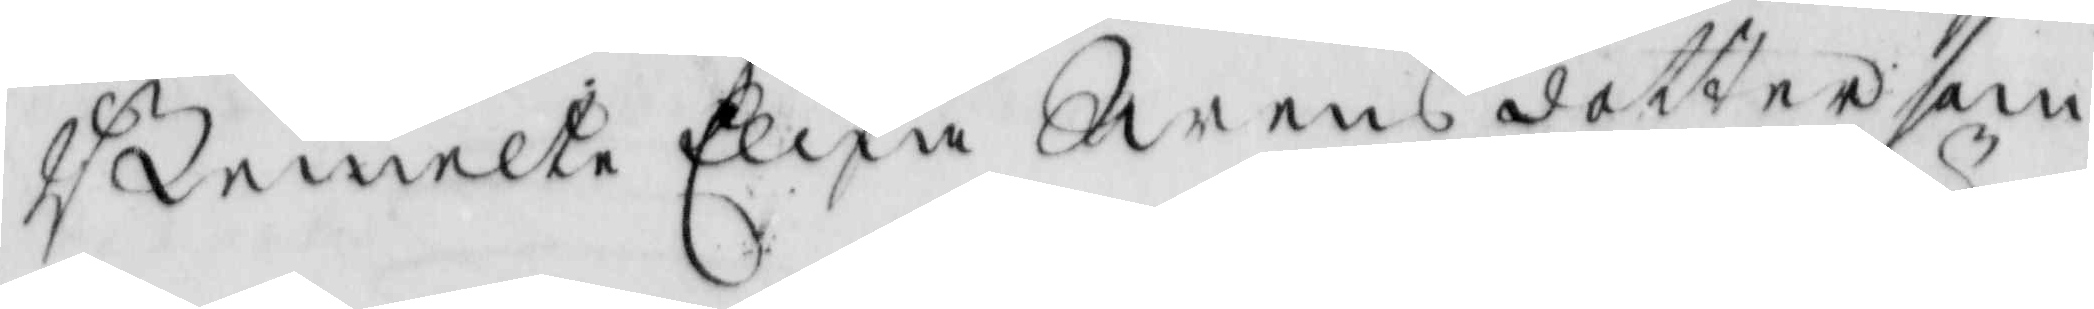Bemelte Elna Swens dotter som
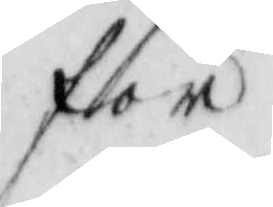för
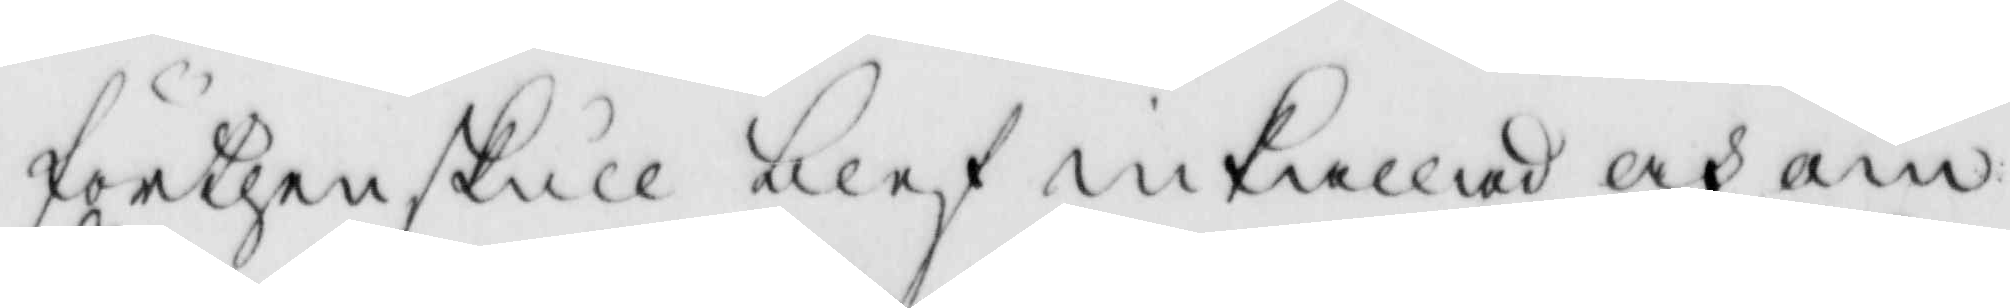förthenskull blef inkallad och om
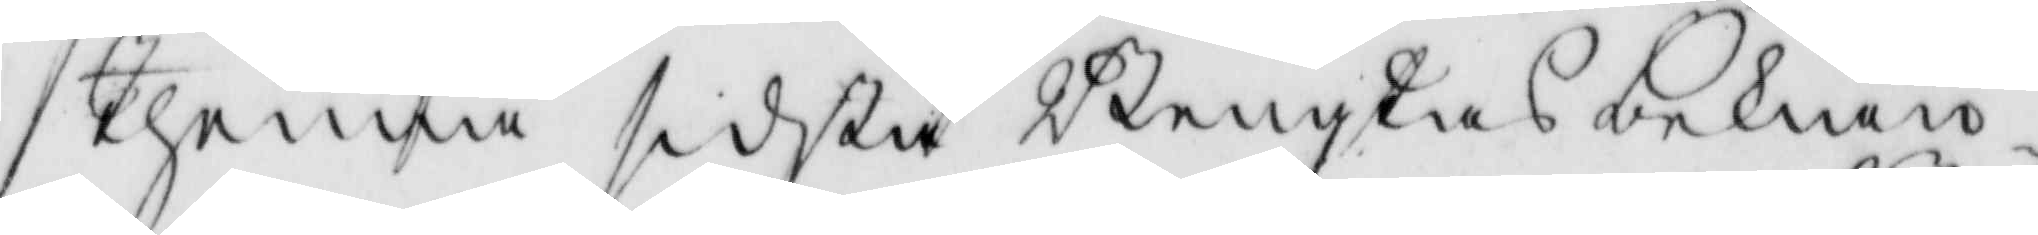thenna sidsta Bengtas bekiän¬
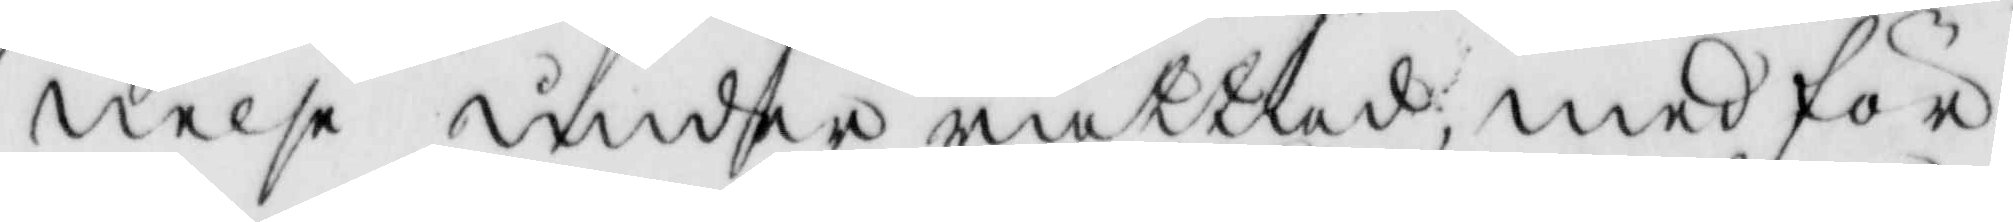nelse under rättad, med för¬
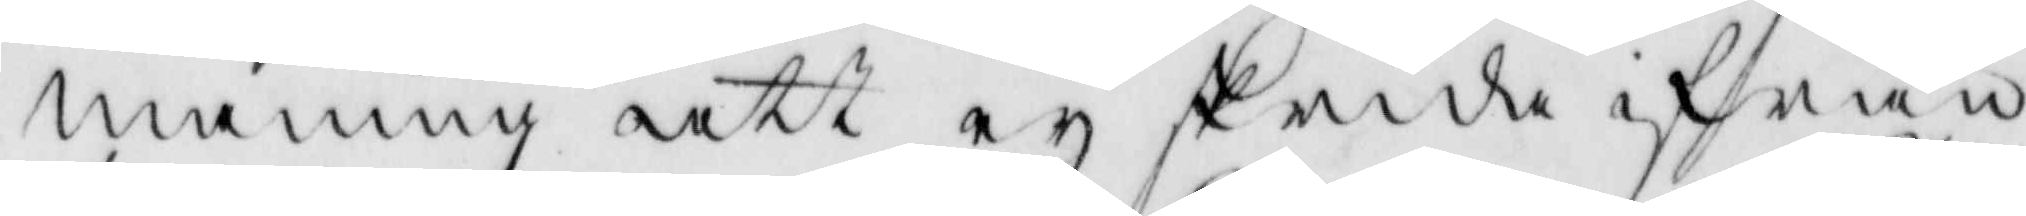maning att ey skrida ifrån
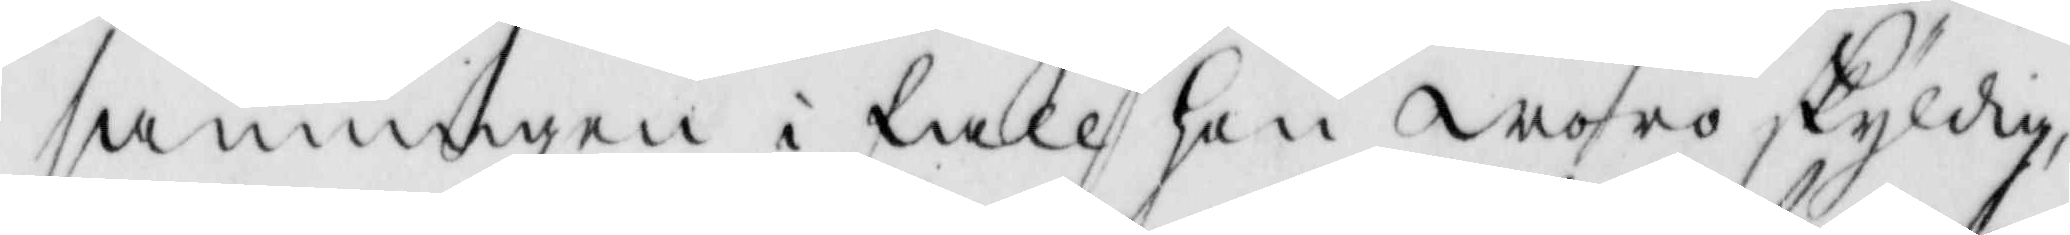sannnigen i fall hon woro skyldig,
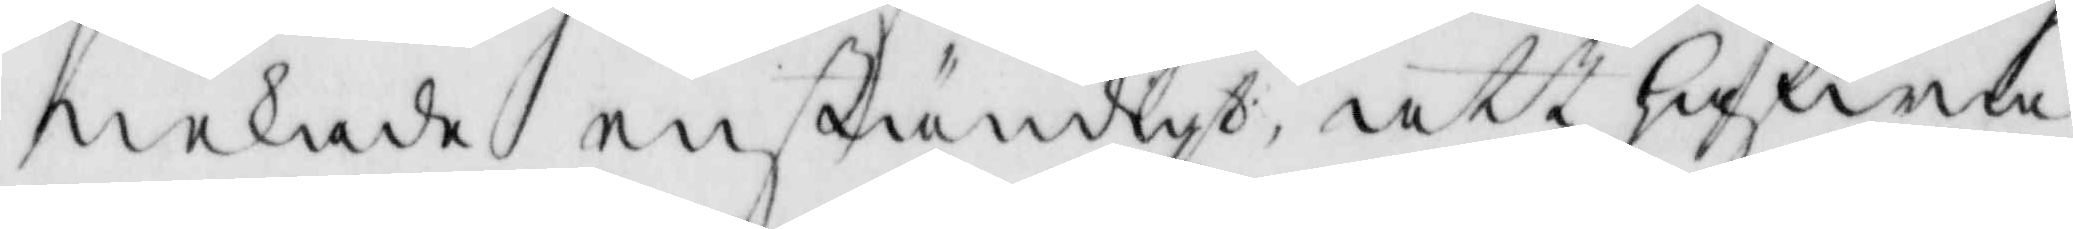nekade enständigh, att hafwa
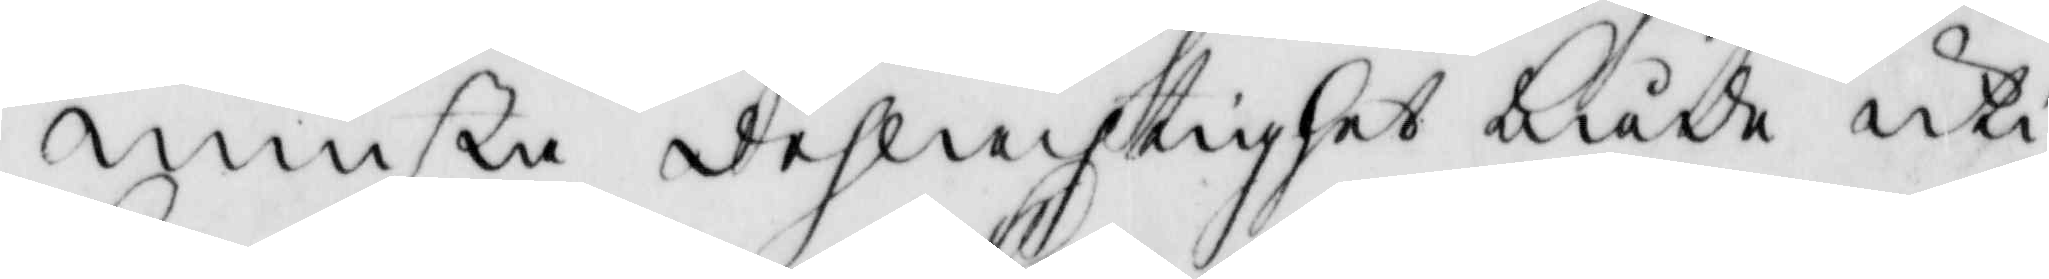minsta delachtighet både uki
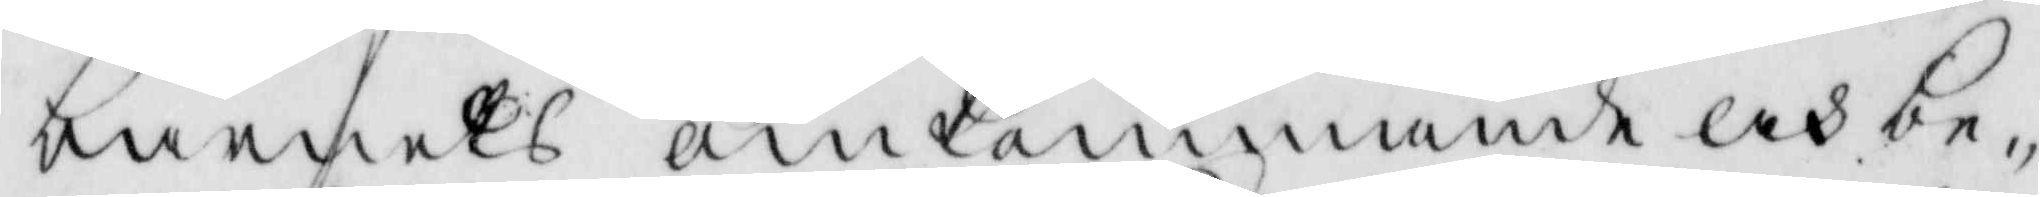barnets omkommande och be¬
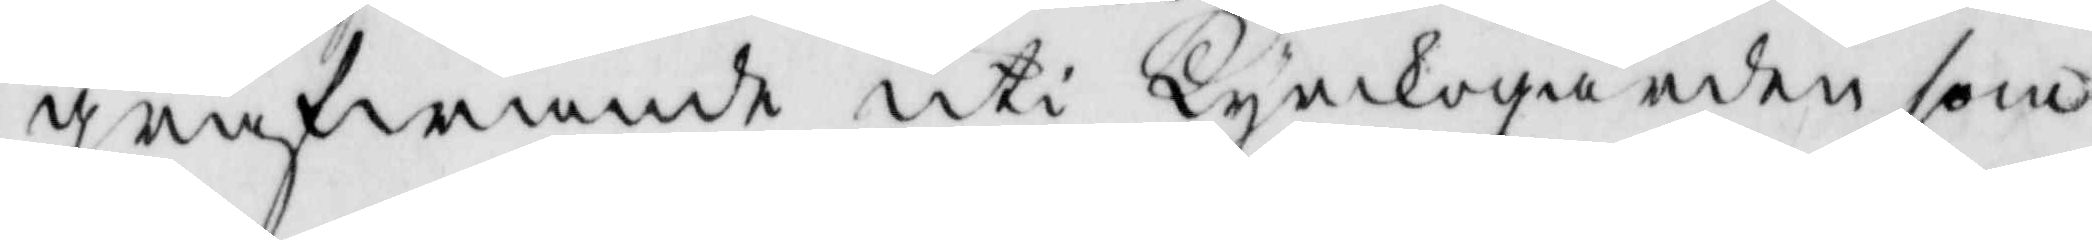grafwande uti Kyrkogården som
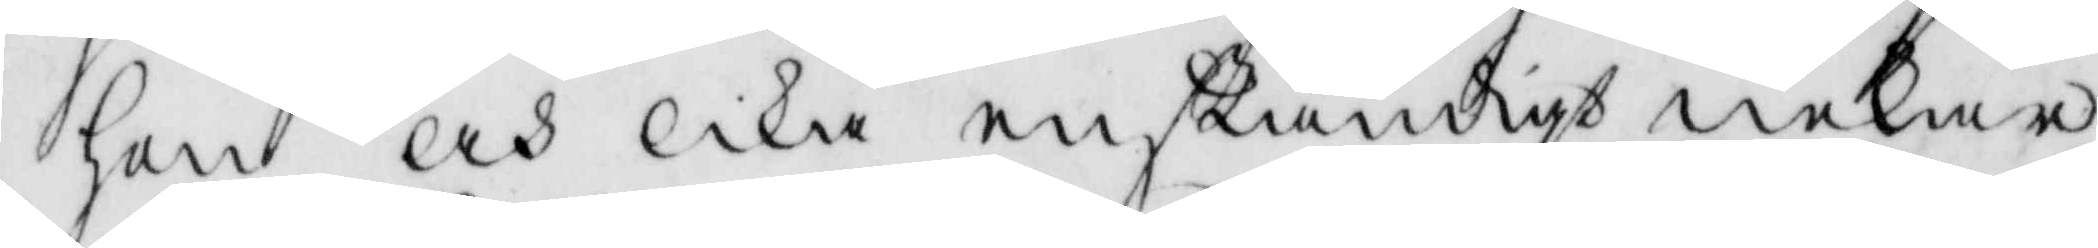hon och lika enständigt nekar
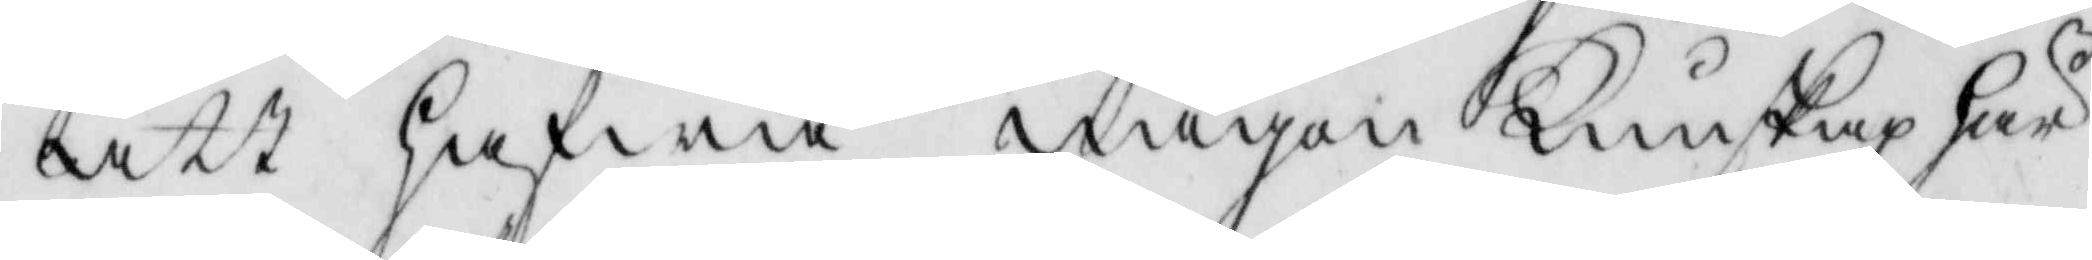att hafwa någon Kunskap här
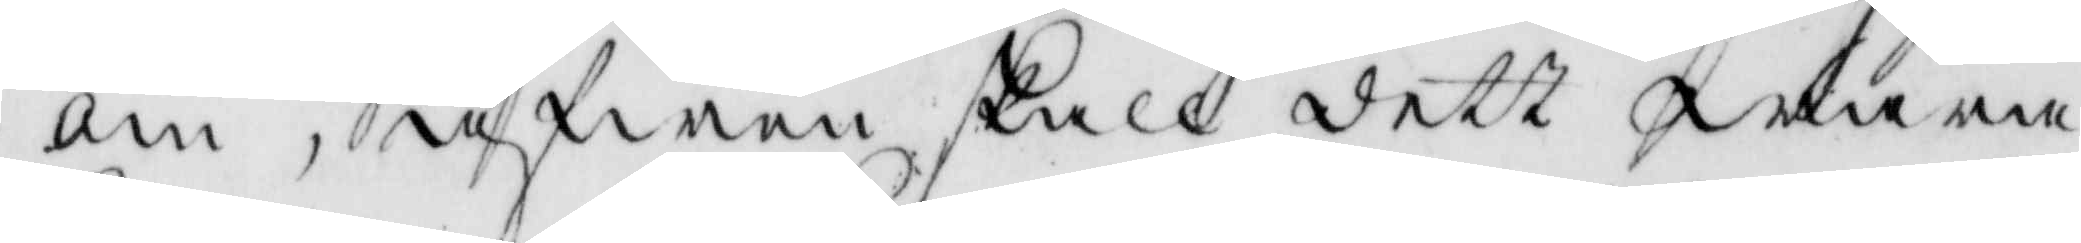om, äfwen skall dett wara
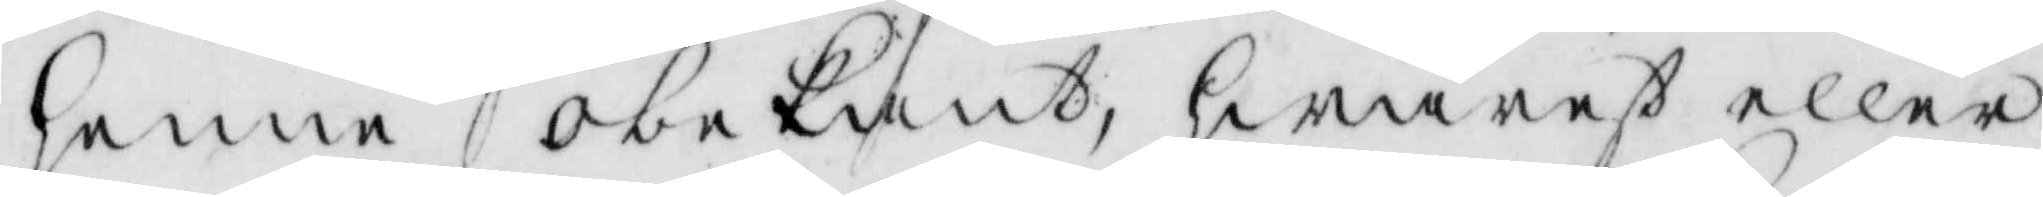henne obekant, hwarest eller
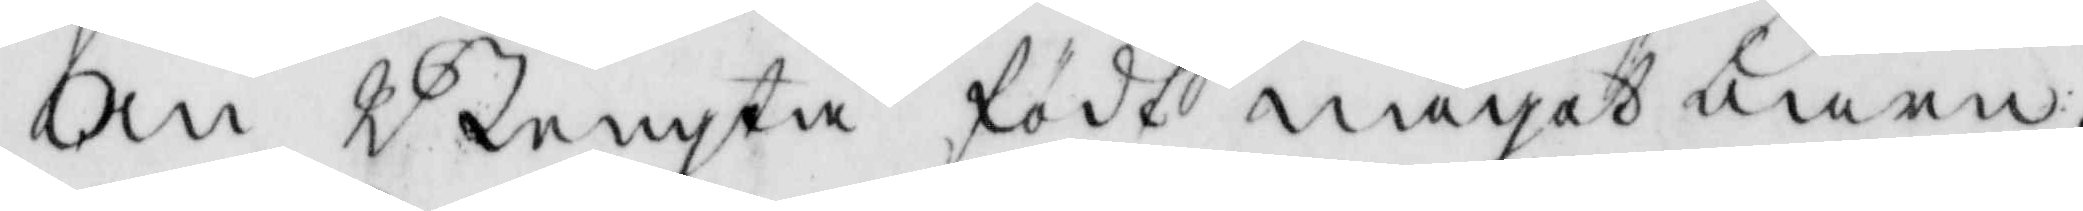Om Bengta födt något barn,
